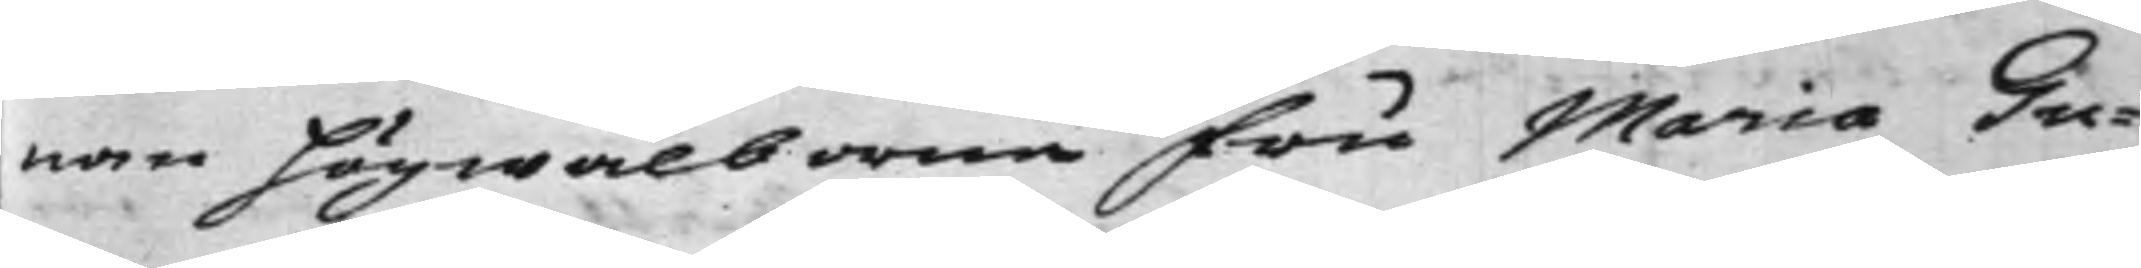nan Högwälborna Fru Maria Gu¬
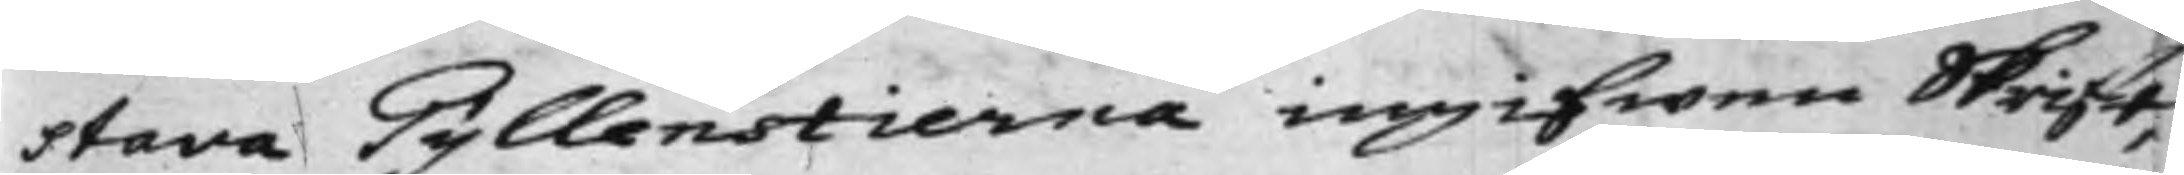stava Gyllenstierna ingifwen Skrift,
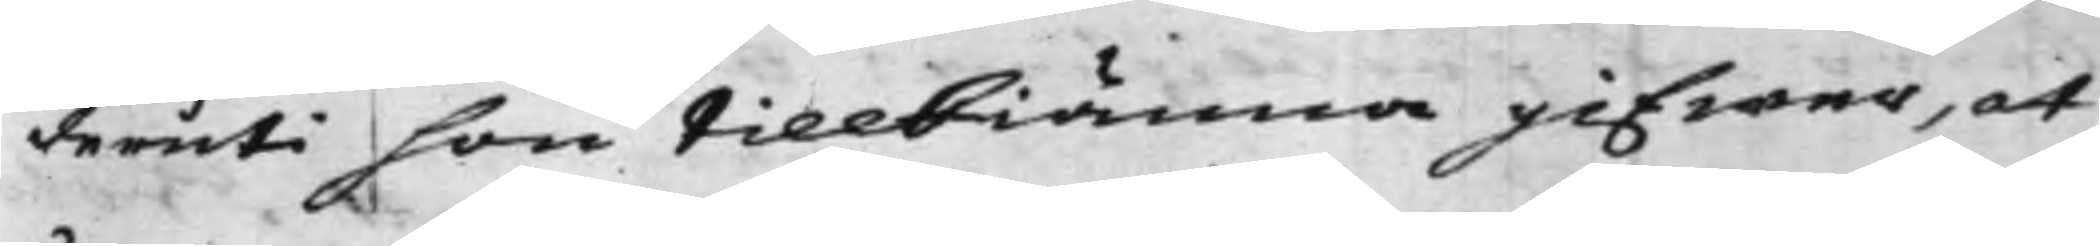deruti hon tillkiänna gifwer, at
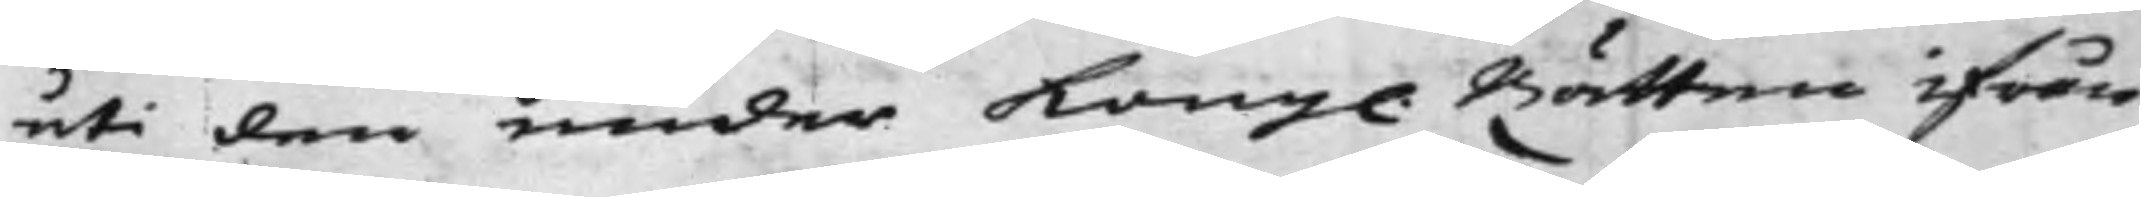uti den under Kong. Rätten ifrån
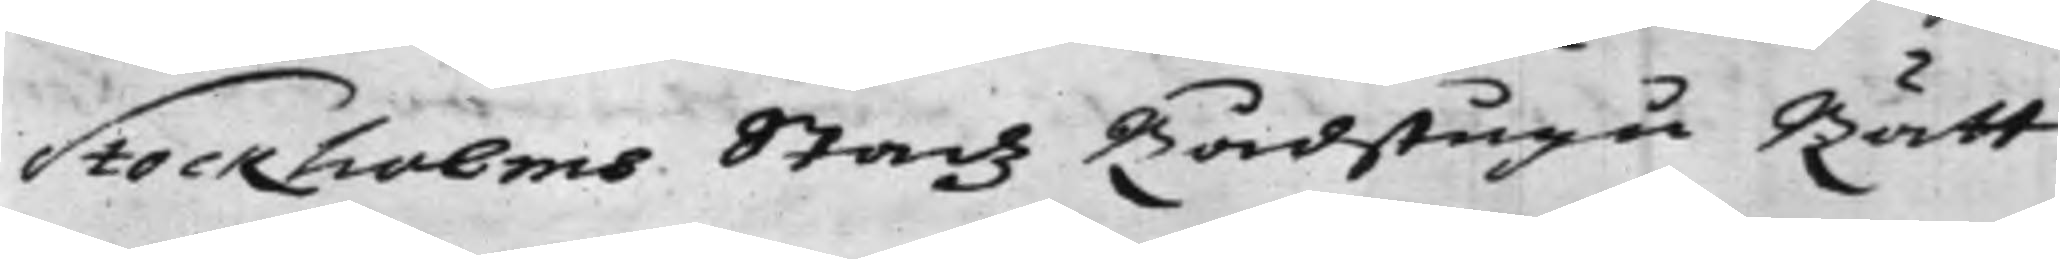Stockholms Stadz Rådstugu Rätt
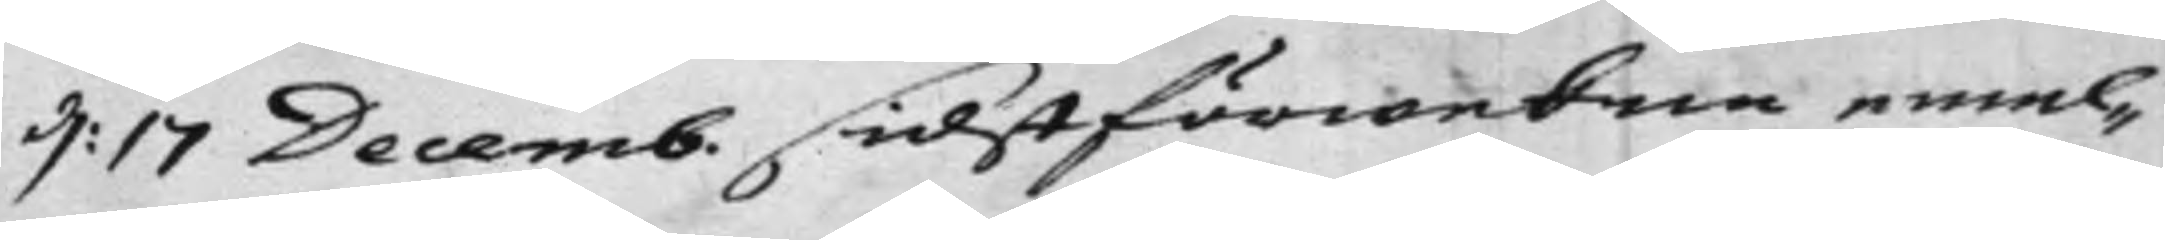d: 17 Decemb. sidstförwekne emel¬
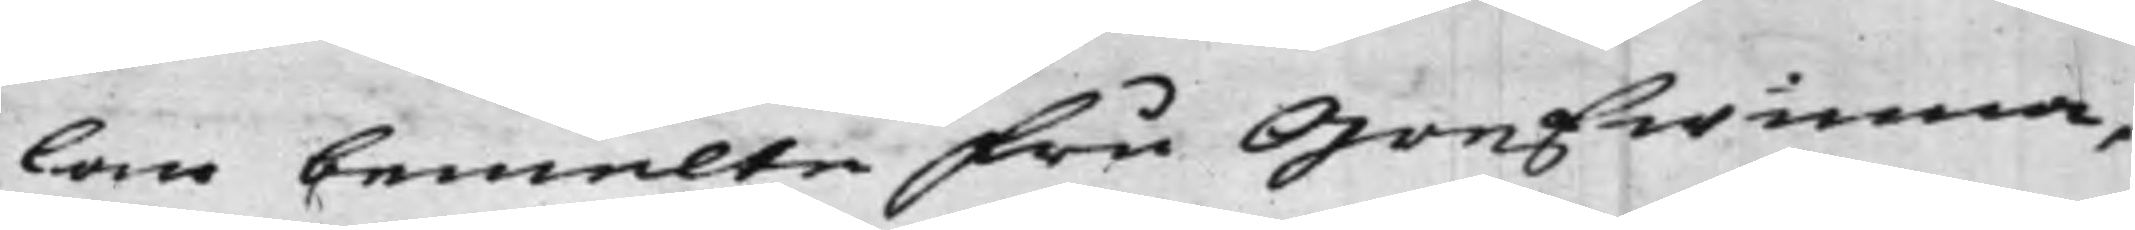lan bemelte Fru Grefwinna,
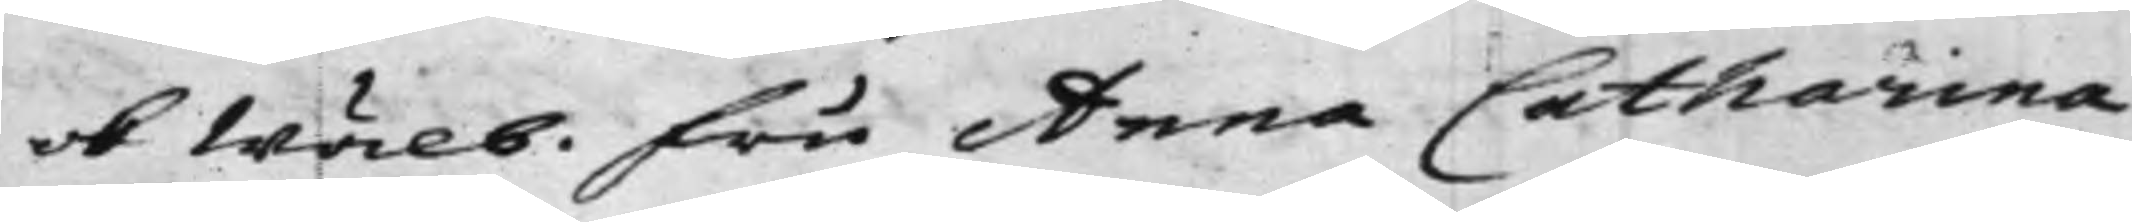ok Wälb. Fru Anna Catharina
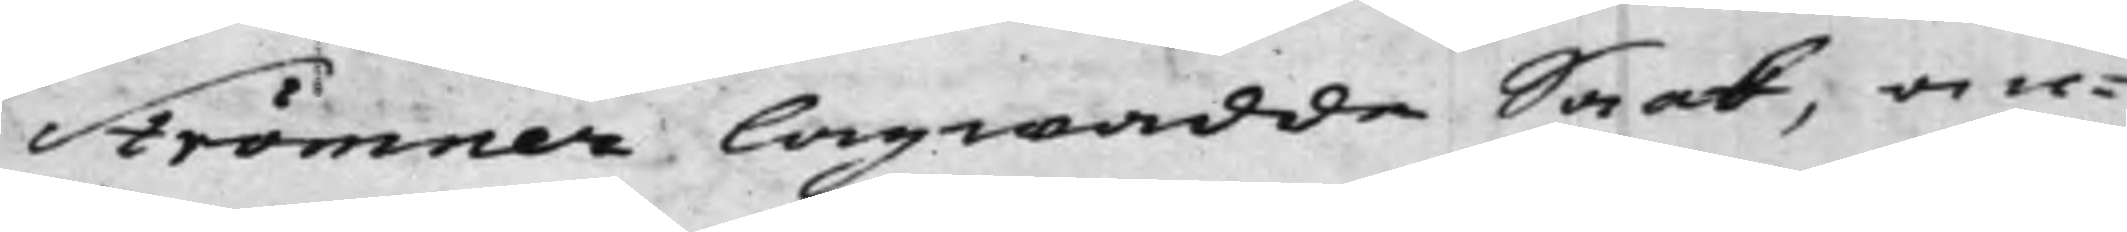Strömner lagwadda Saak, an¬
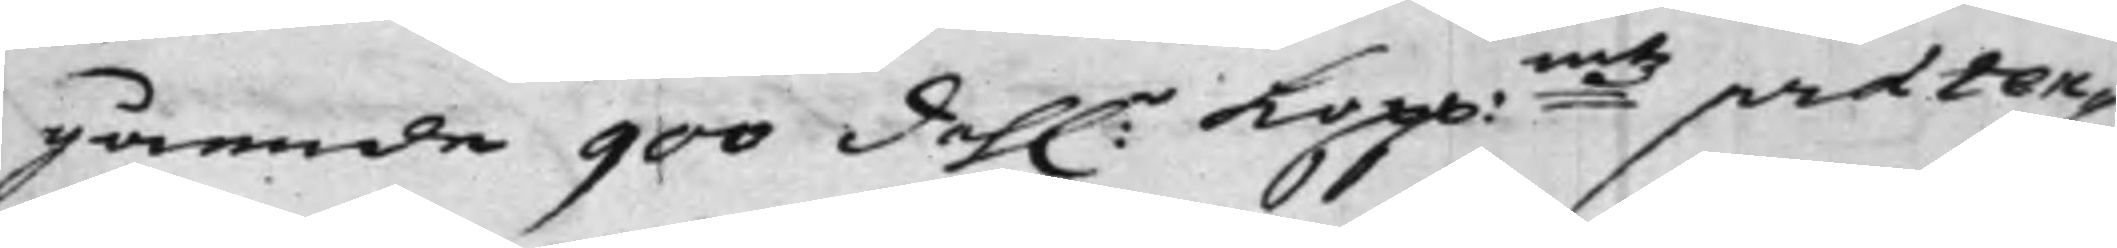gående 900 dah:r Kopp:mtz praeten¬
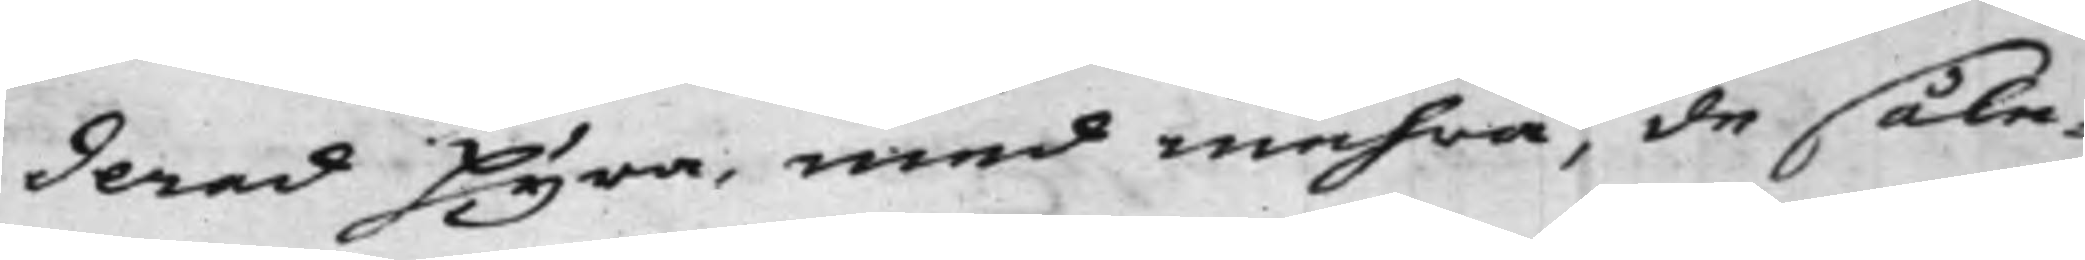derad Hyra, med mehra, de såle¬
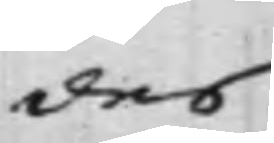des
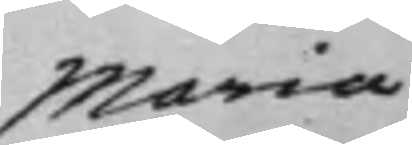Maria
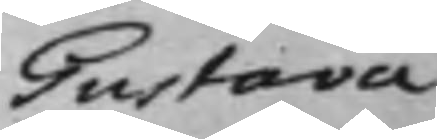Gustava
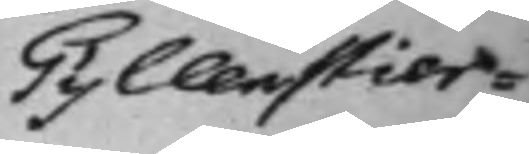Gyllenstier¬
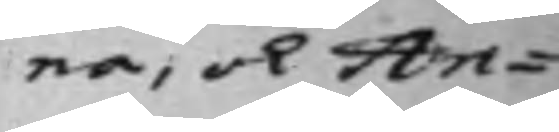na, och An¬
